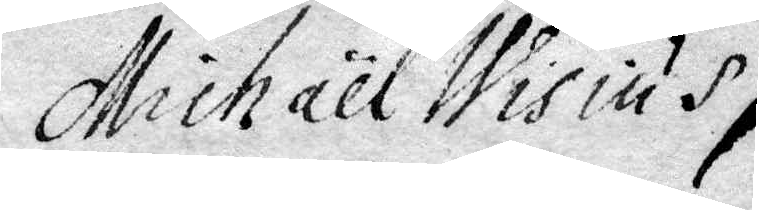Michael Wisius
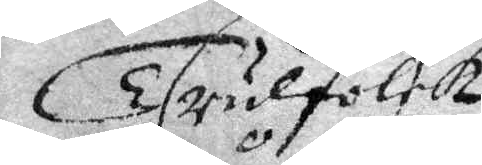trulfolck
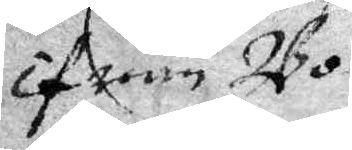ifrån Bo¬
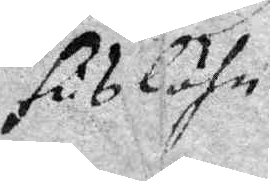Hus Lähn.
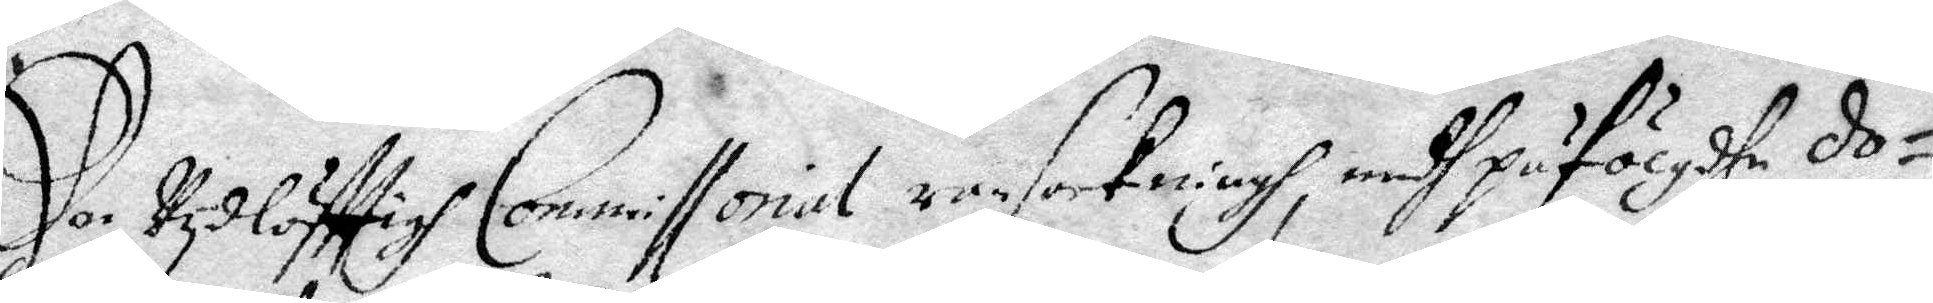Den Vydlöfttigh Commissorial ransakningh, medh påfölgdhe do¬
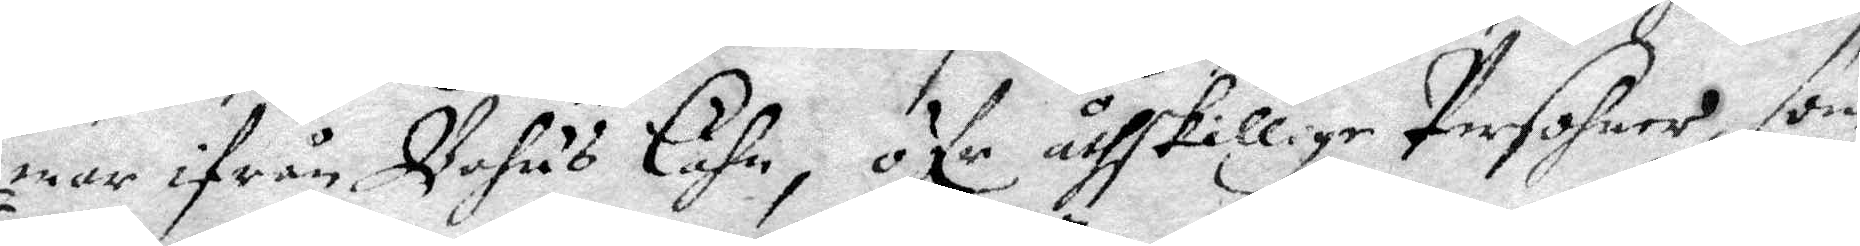mar ifrån Bohus Lähn, öfr åthskillige Persohner, som
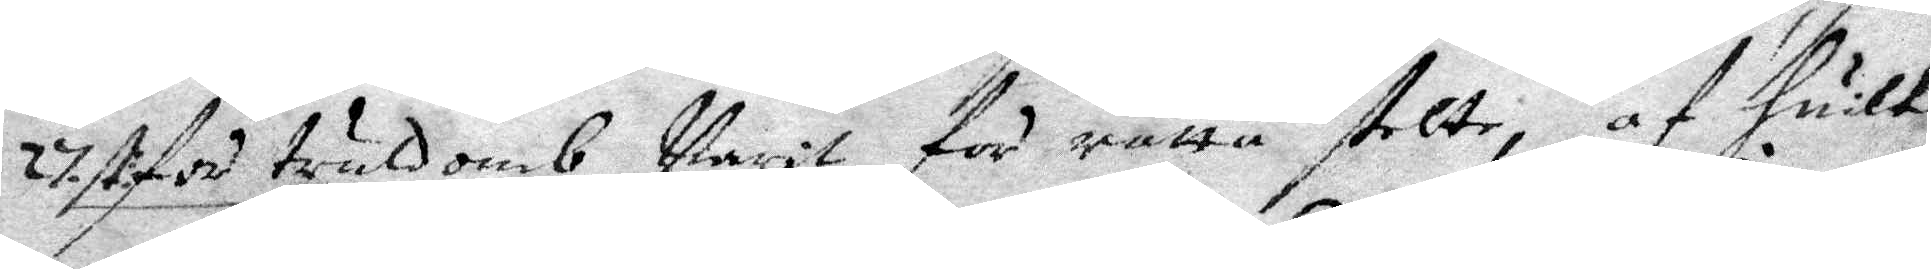27. st. för truldomb Varit för rätta stelte, af huilka
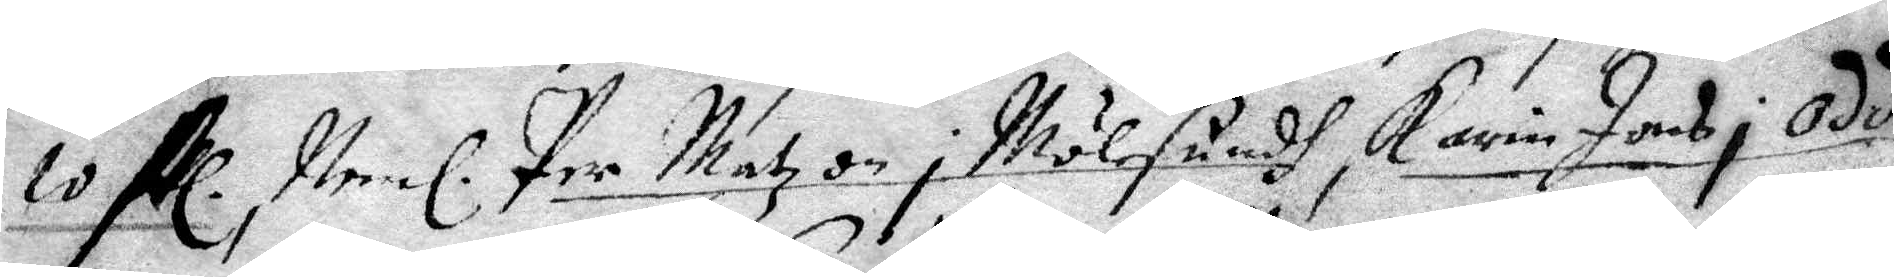10 stl. Neml. Per Matzon i Mölesundh, Karin Jons i Odde¬
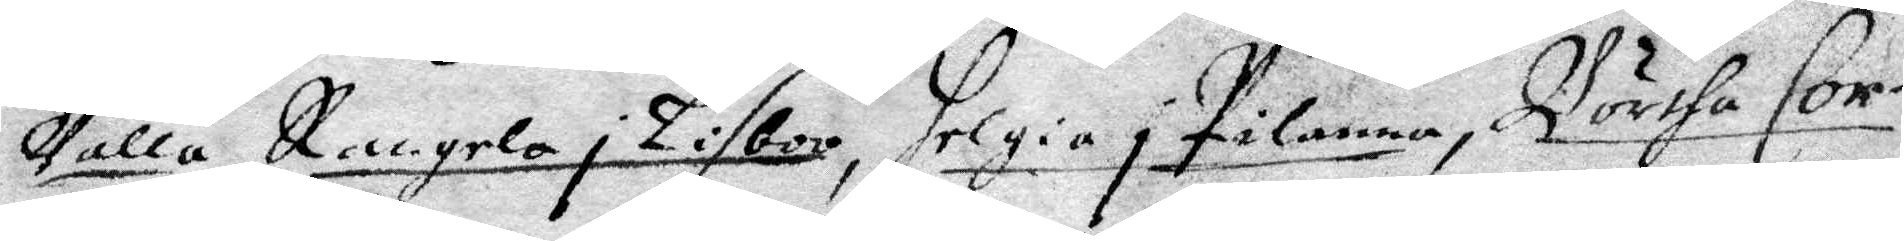Valla, Rangela i Lisboo, Helgia i Pilanna, Börtha Cor¬
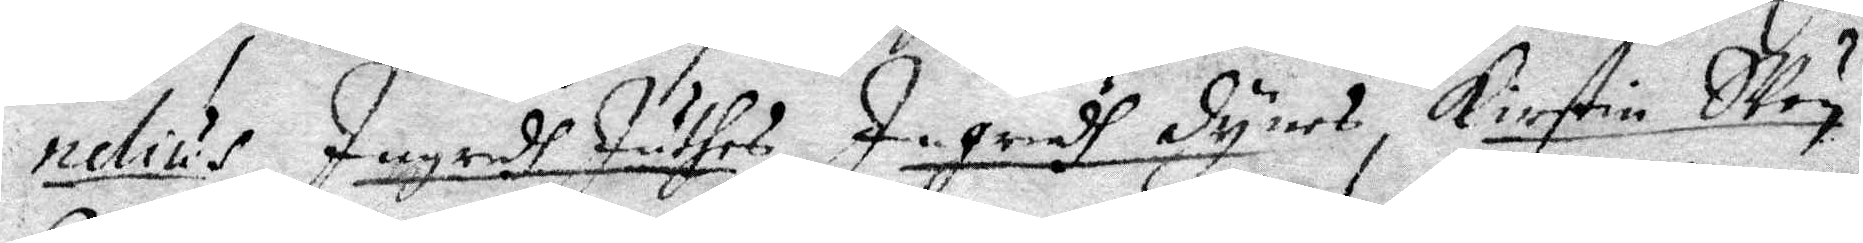nelius, Ingredh Juthes, Ingredh Dynes, Kirstin SVeg
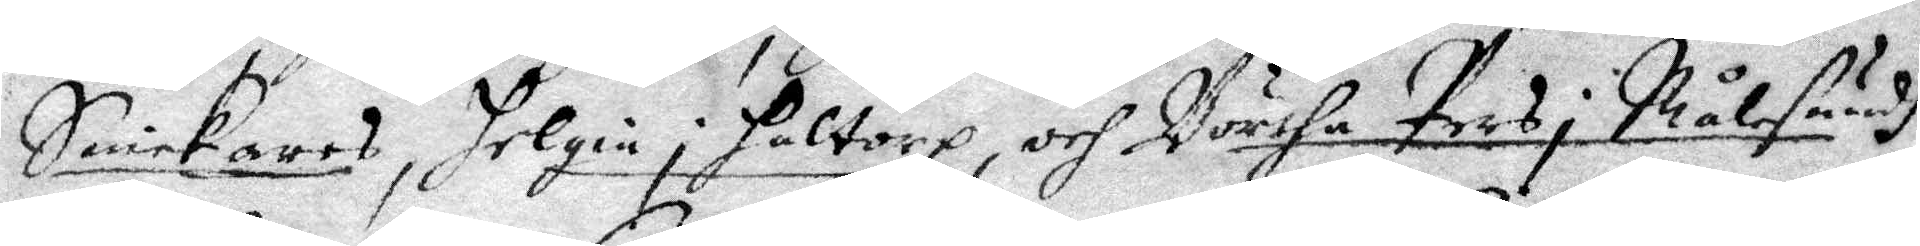Snickares, Helgia i Haltorp, och Börtha Pers i Målesundh
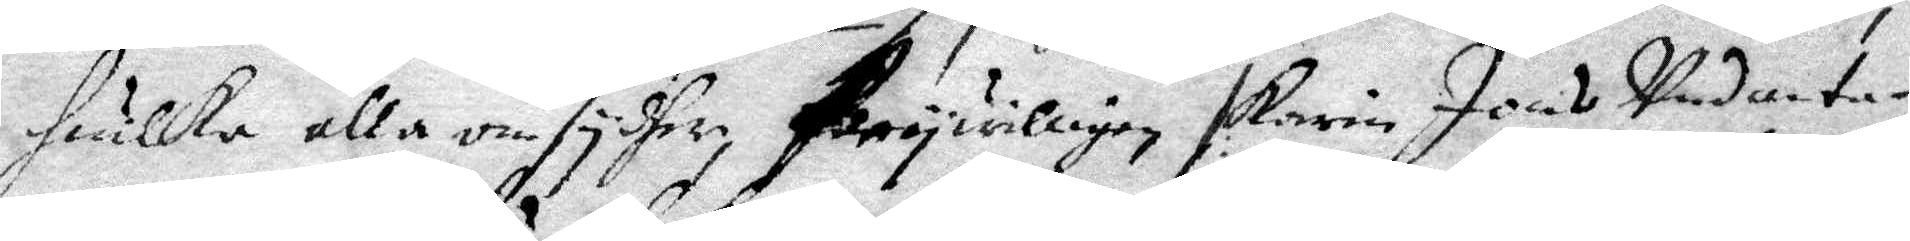Huilka alla om sydher frywilligen /: Karin Jons Undanta¬
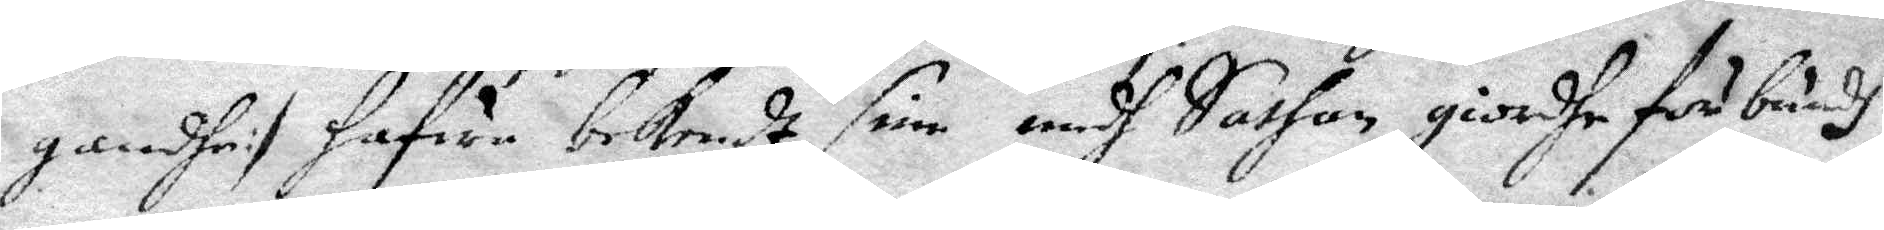gandhe :/ hafua bekendt sin medh Sathan giordhe förbundh
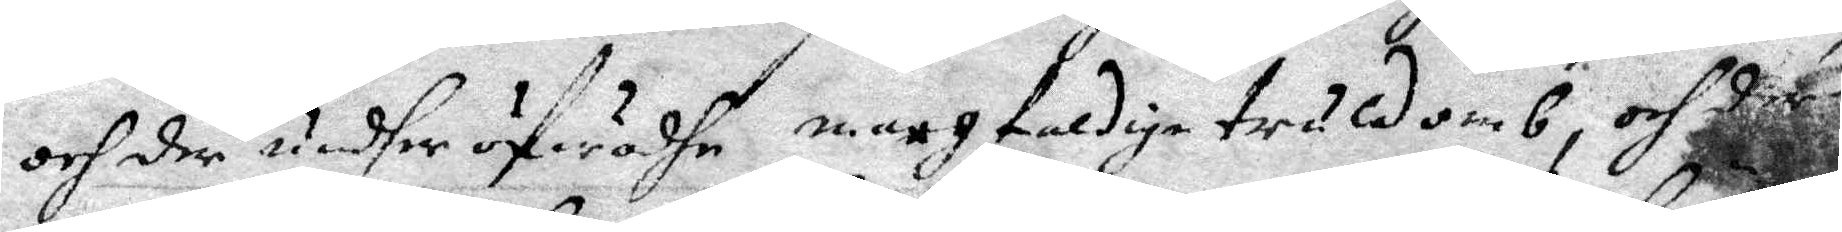och der under öfwadhe mångfaldige truldomb, och där¬
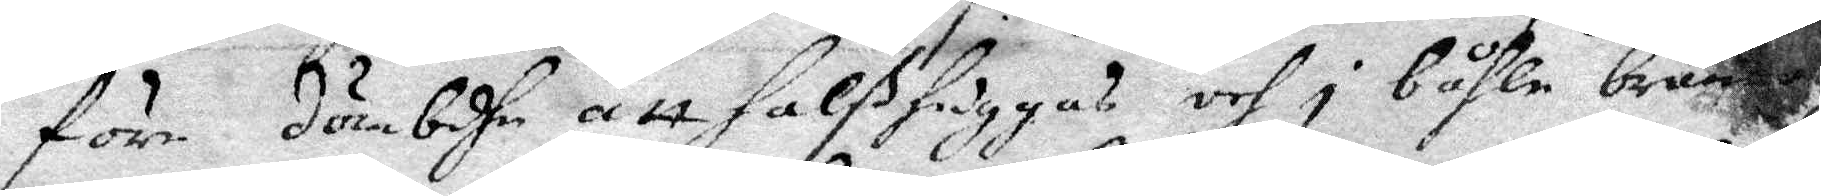före dömbdhe att halßhuggas och i båhle brännas.
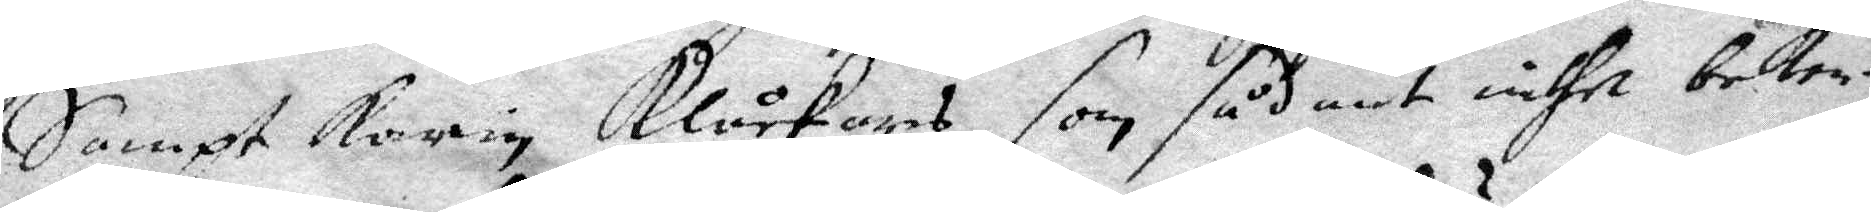Sampt Karin Klåckars, som sådant inthe beken¬
